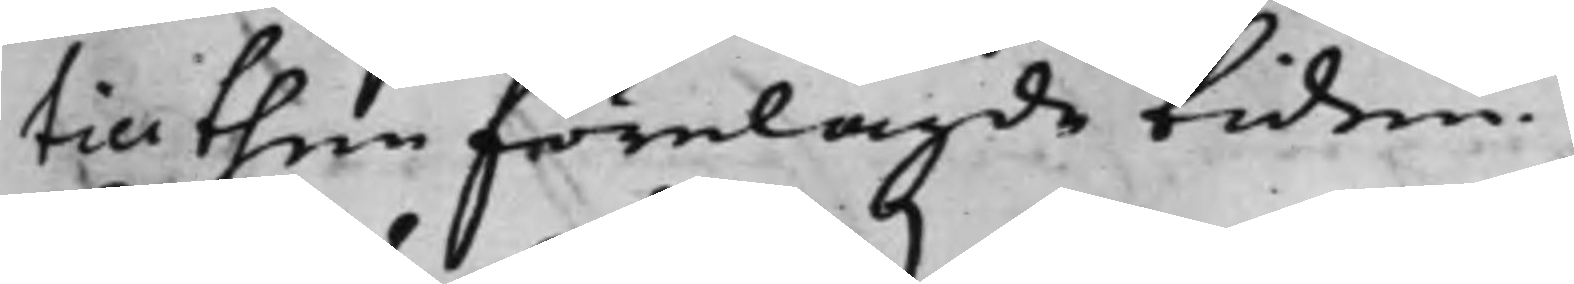till then förelagde tiden.
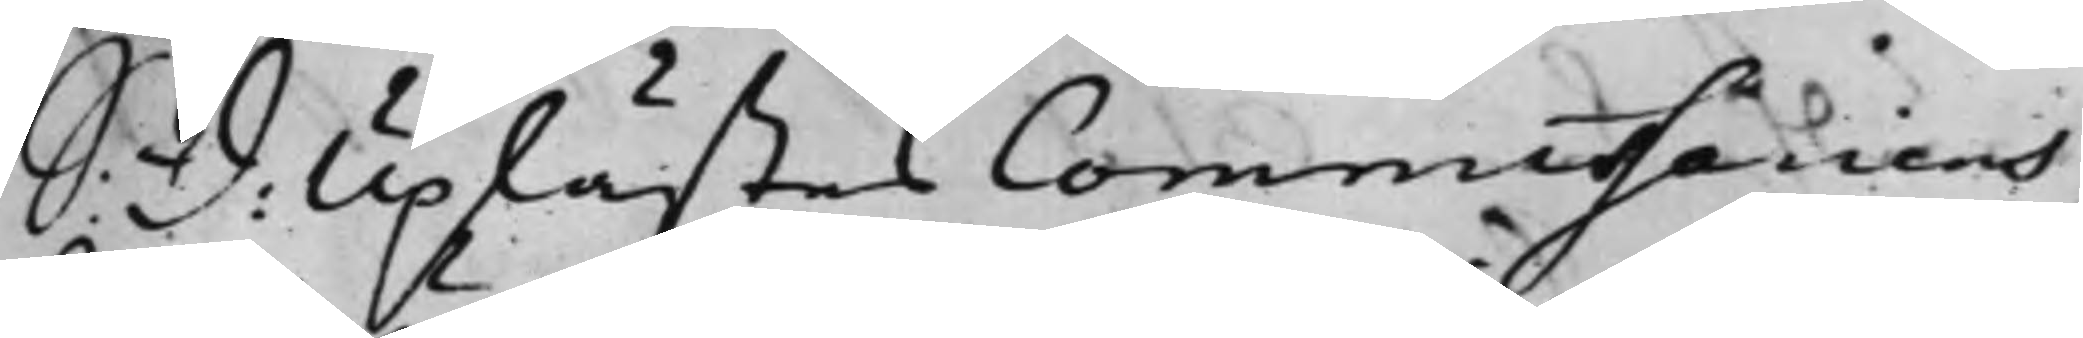S: D: Uplästes Commissariens
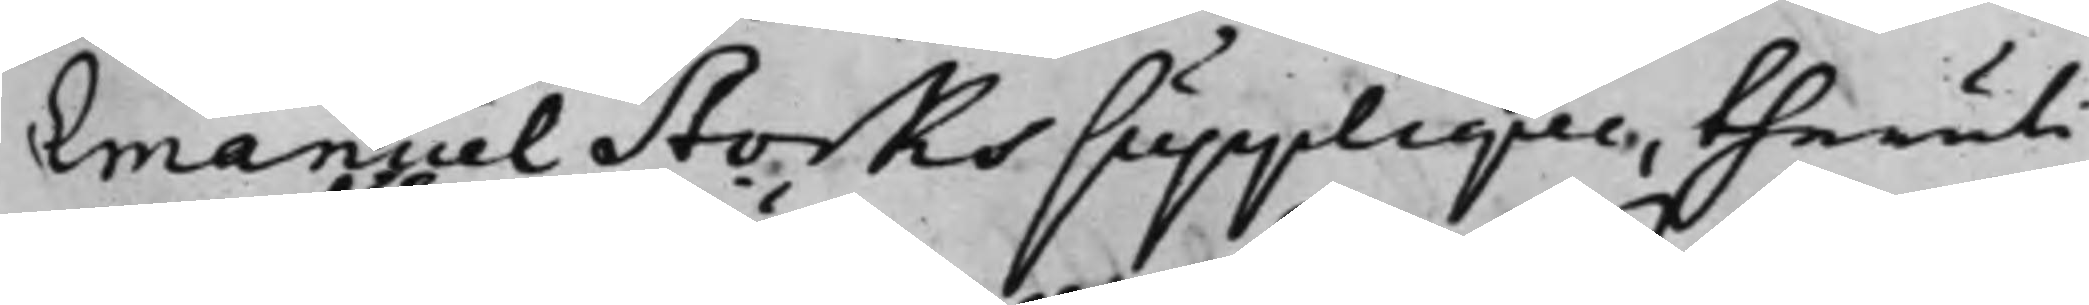Emanuel Storks Supplique, theruti
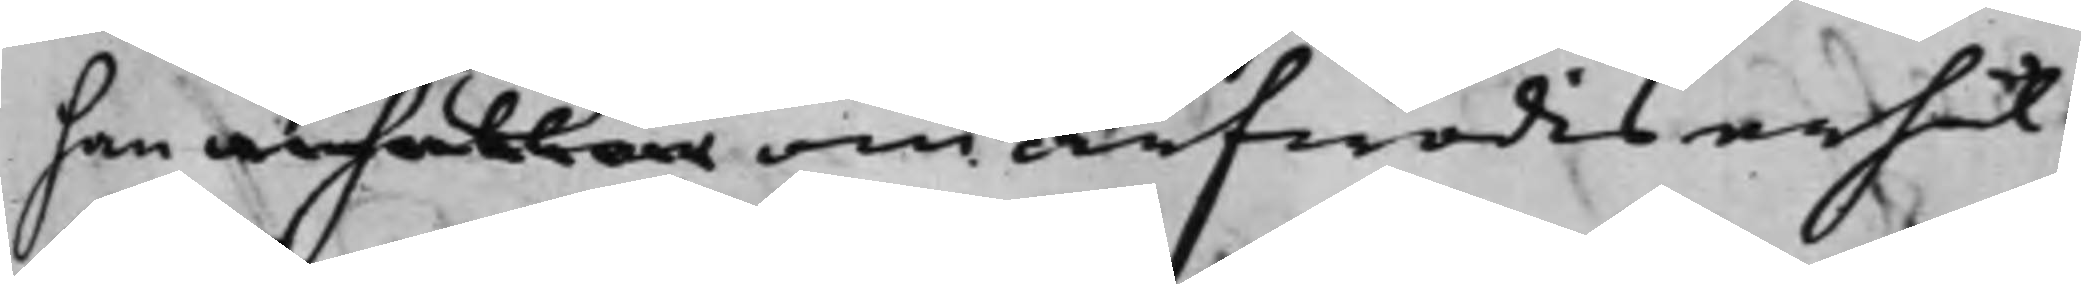han anhåller om arfwodis erhål¬
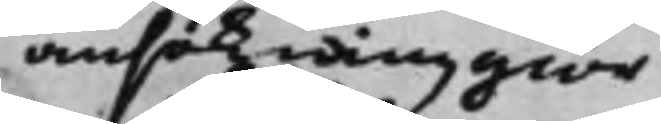ansökning giör
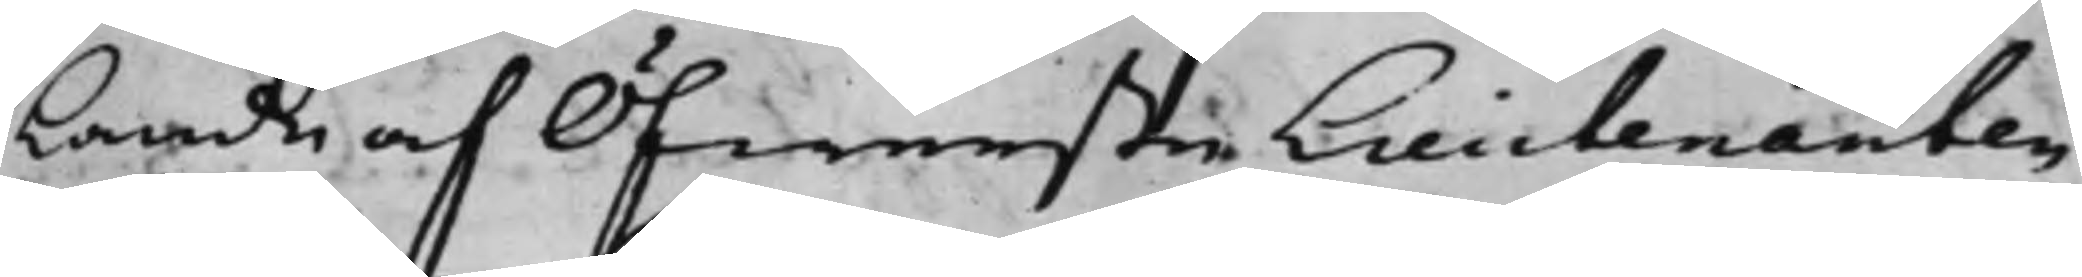lande af ÖfwersteLieutenanten
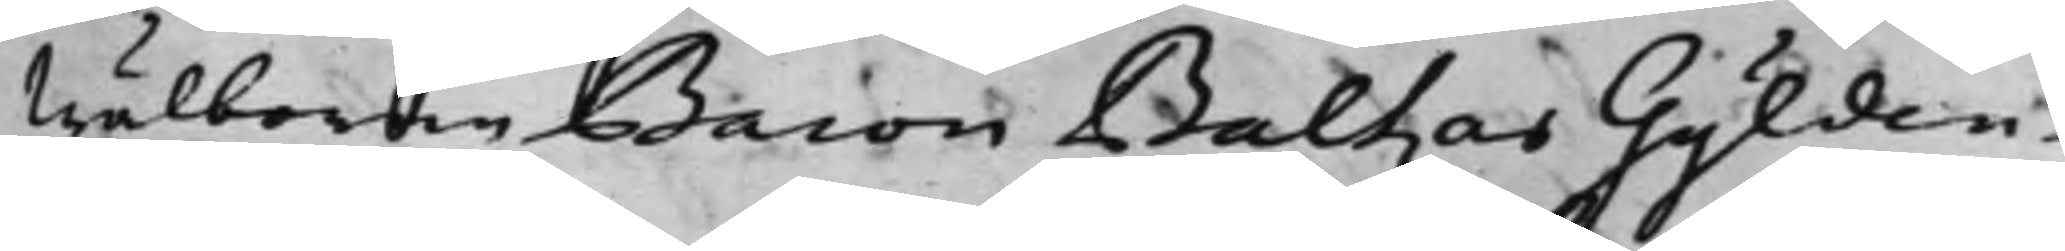Wälborne Baron Baltzar Gylden¬
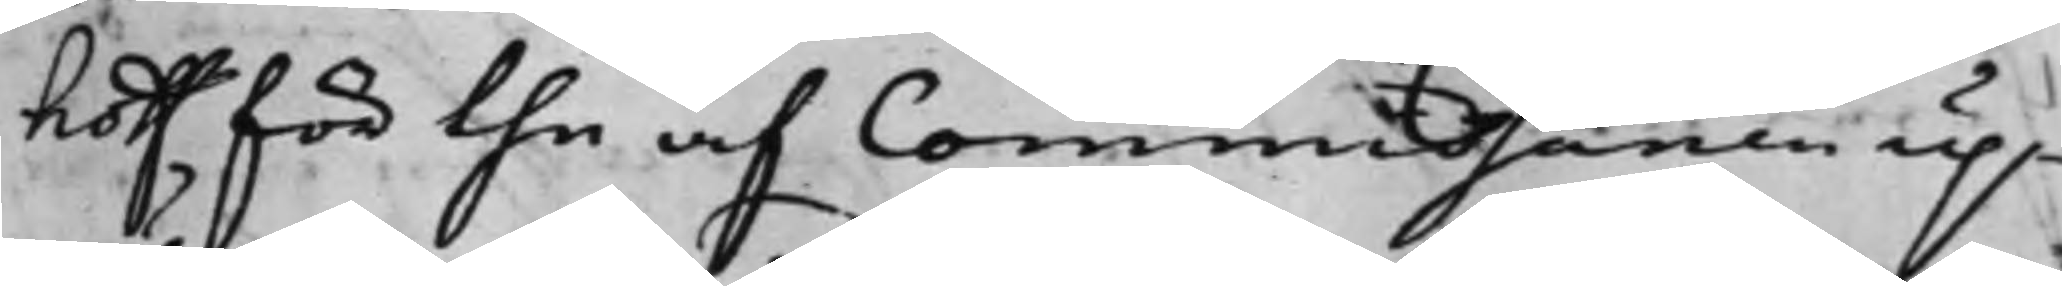hoff för the af Commissarien up¬
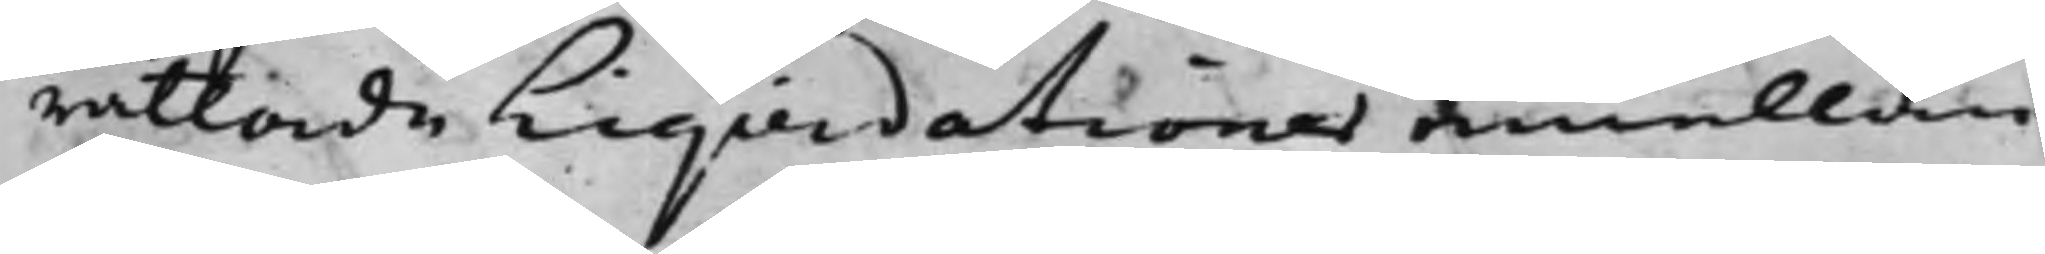rättade Liqidationer emellan
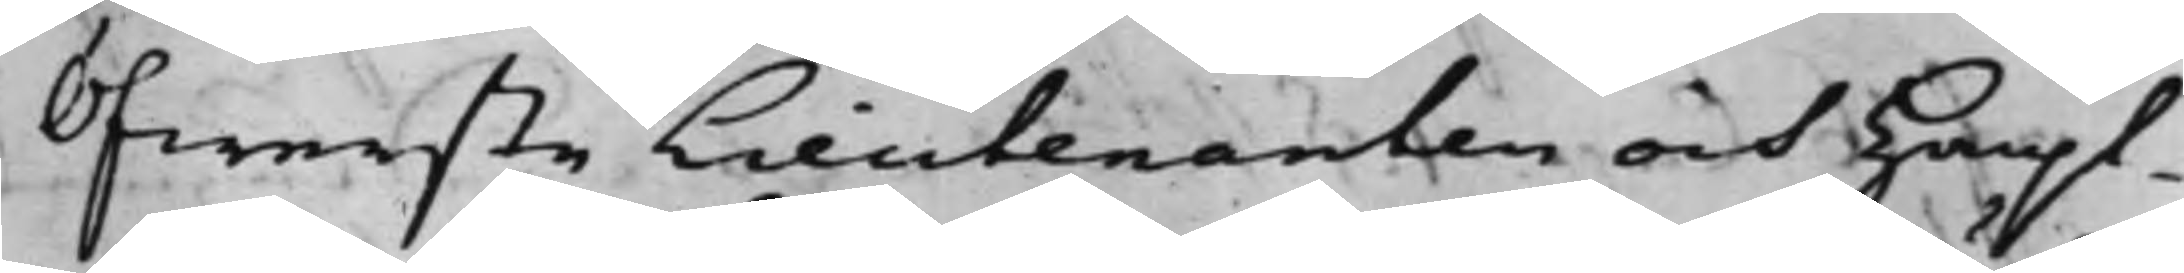Öfwerste Lieutenanten och Haupt¬
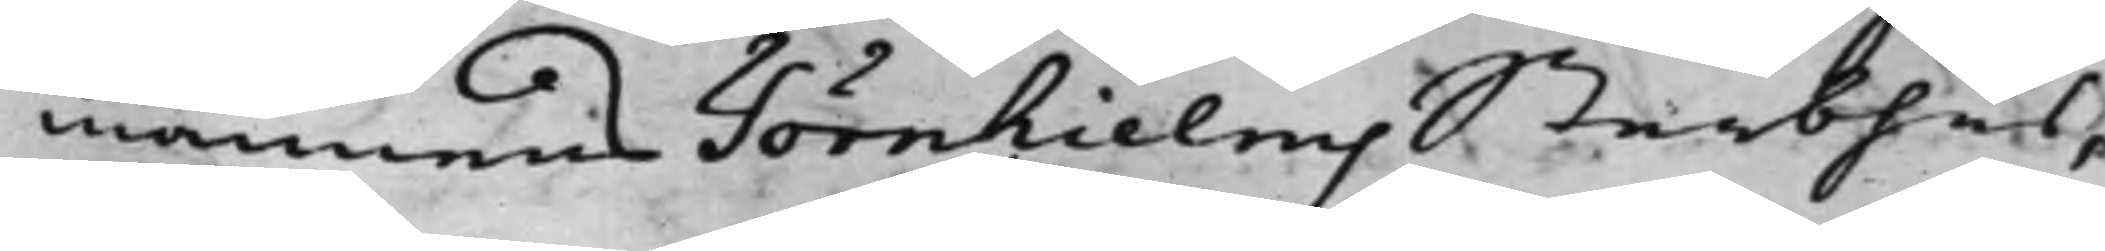mannens Törnhielms Sterbhus,
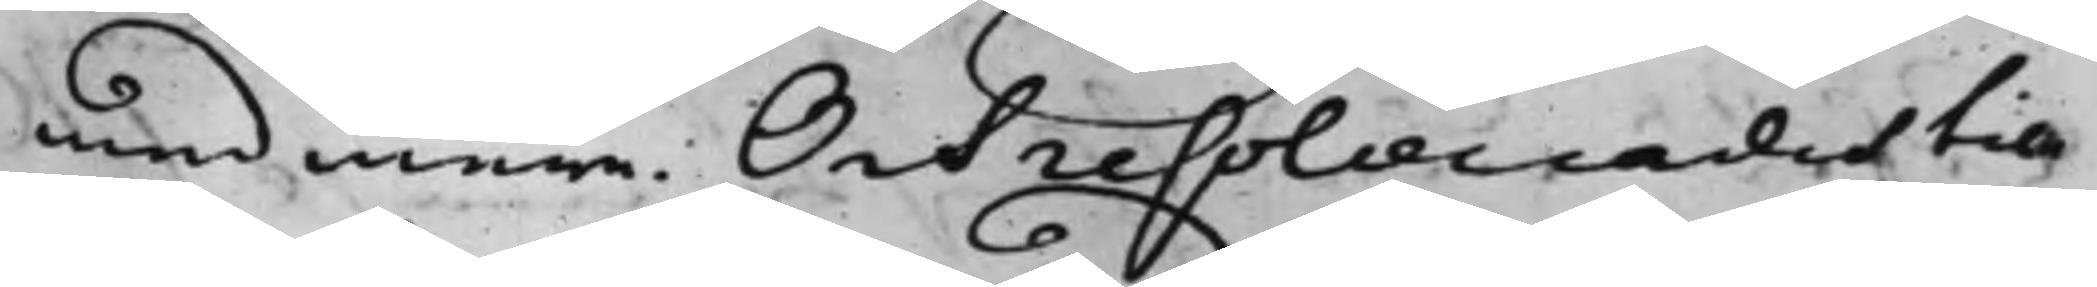med mera. Och resolverades till
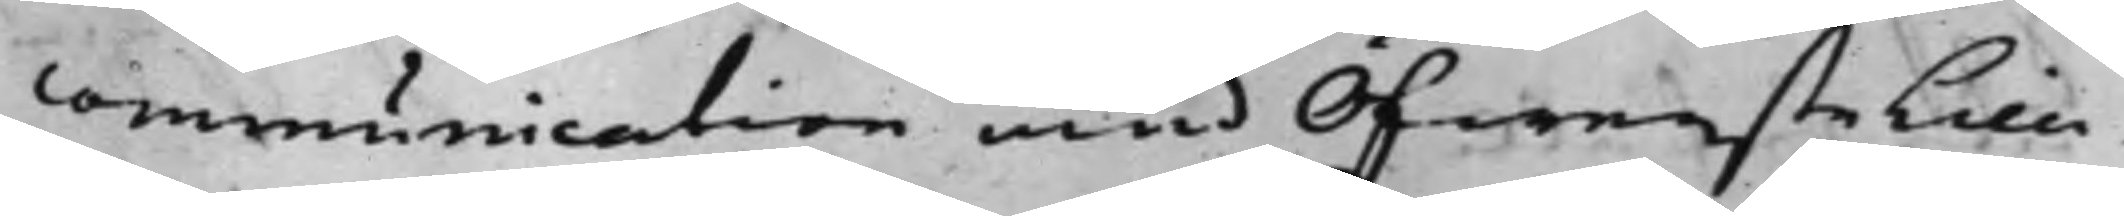communication med Öfwerstelieu¬
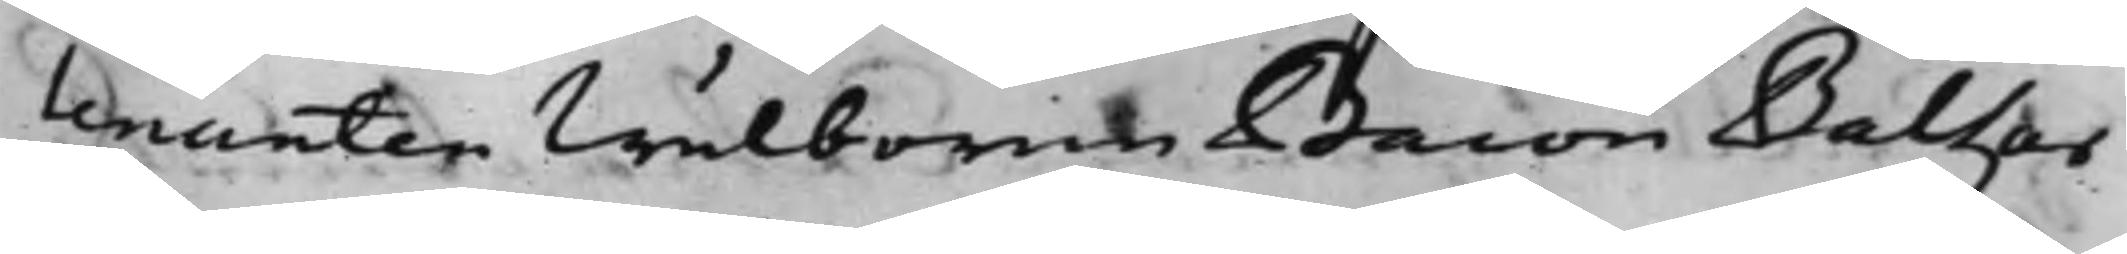temanten Wälborne Baron Baltzar
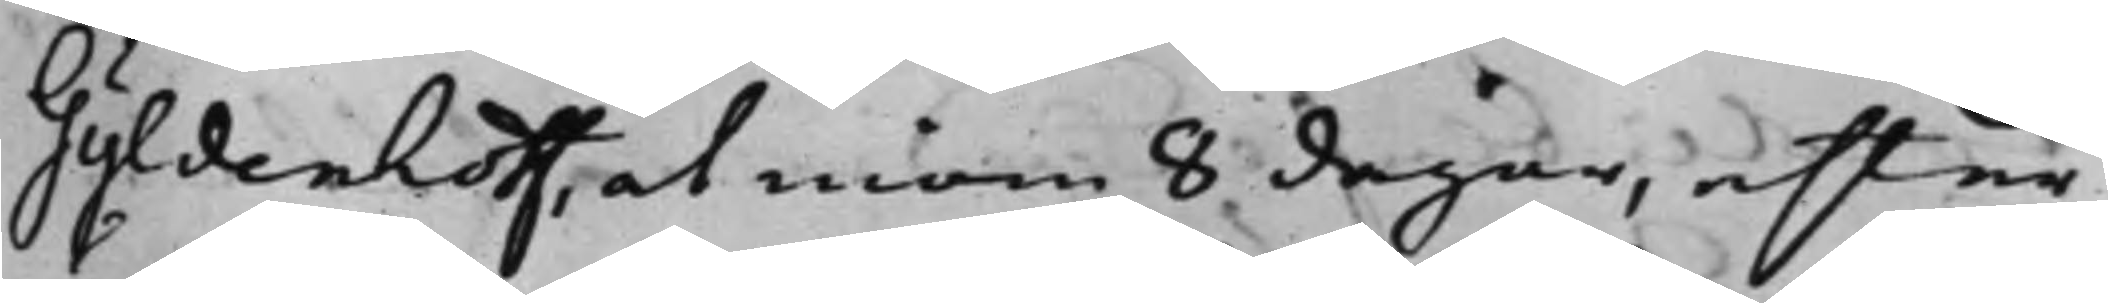Gyldenhoff, at inom 8 dagar, efter
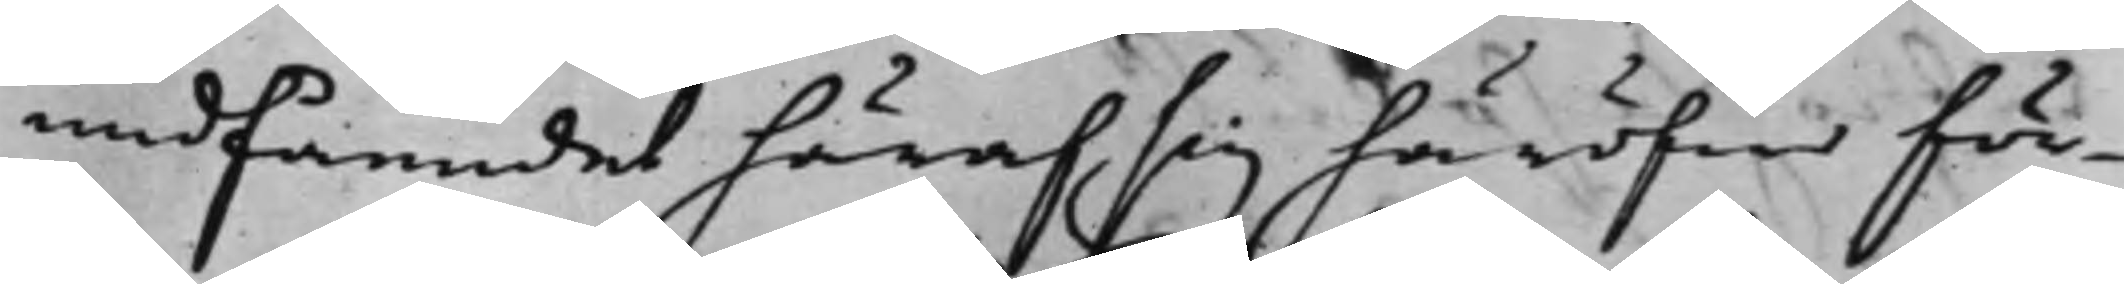undfåendet häraf sig häröfwer för¬
